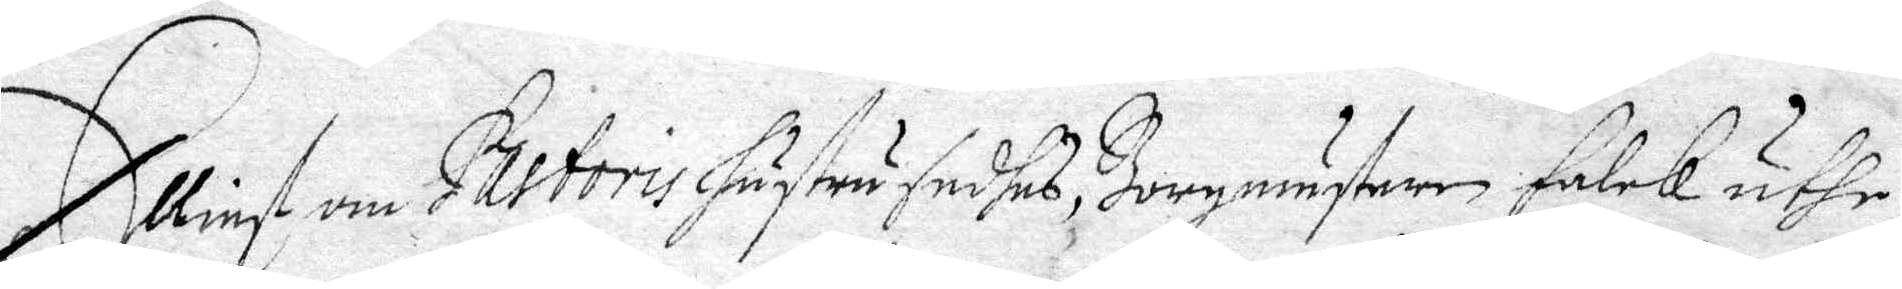Elliest om Pastoris hustru sadhes, Borgmästaren Falck uthe¬
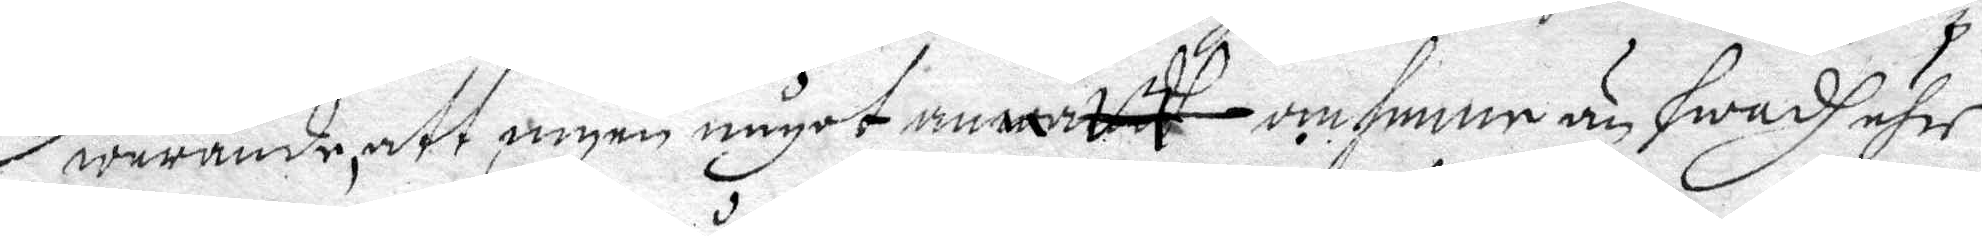warande, att ingen något annath om henne än hwadh ähr¬
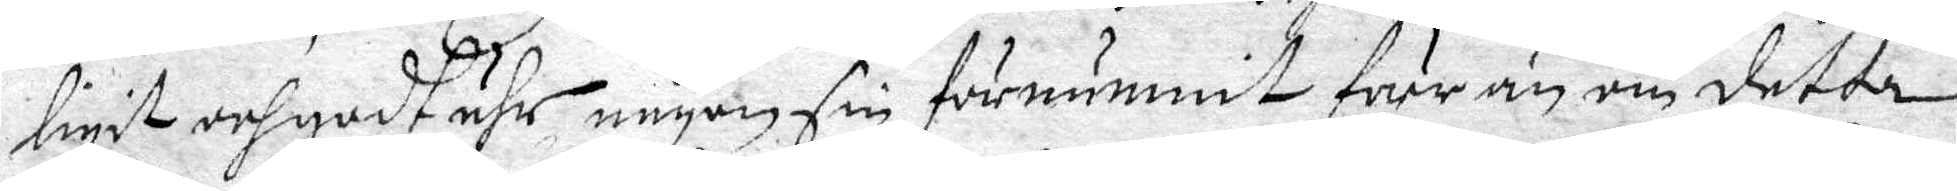ligit och godt ähr någonsin förnummit förr än om detta
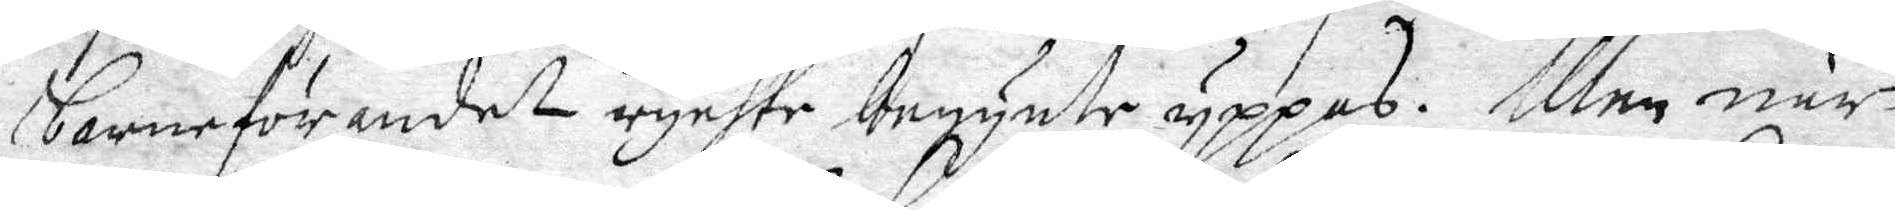barneförandet rychte begynte yppas. Men när
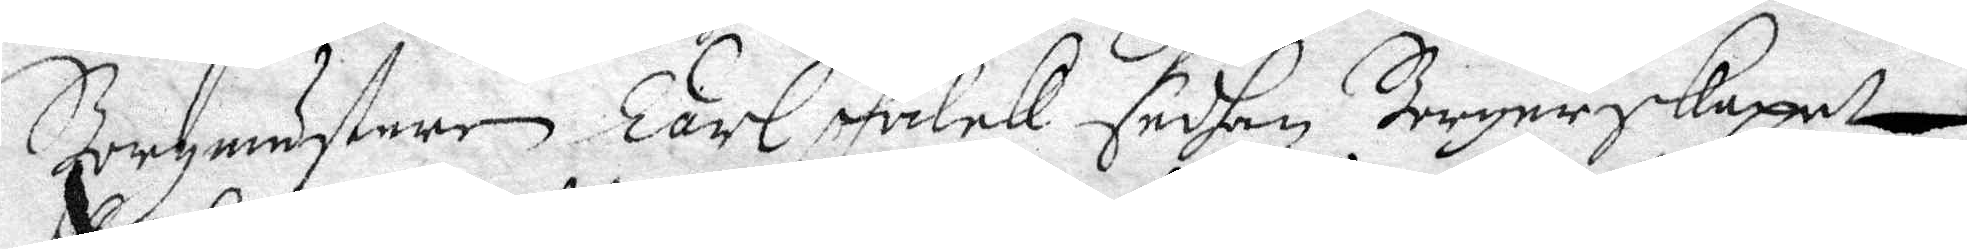Borgmästaren Carl Falck sedhan Borgerskapet
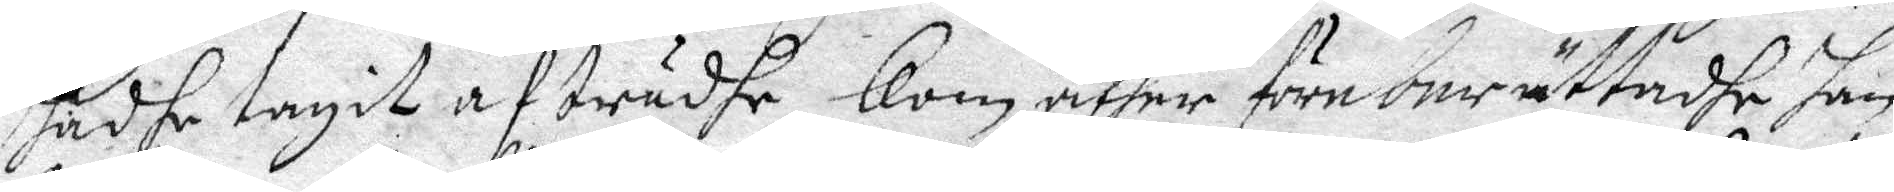hadhe tagit afträdhe Kom åther före berättadhe han
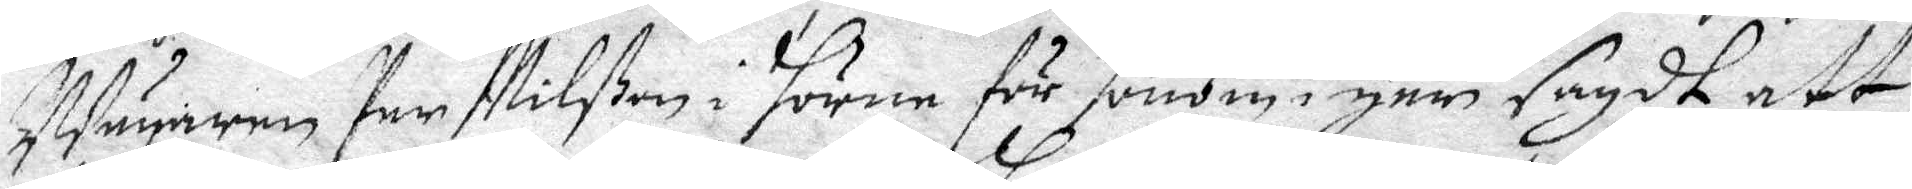Wägaren Per Nilßon i Hörne för Honom igår sagdt att
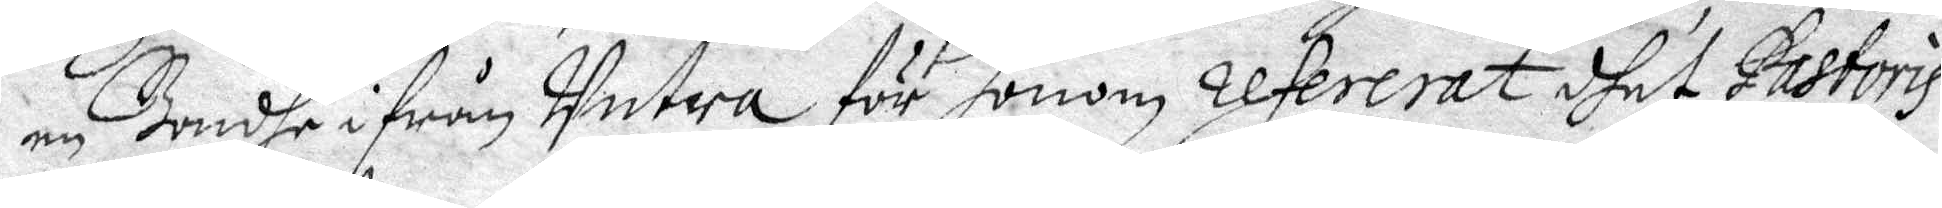en Bondhe ifrån Untra för Honom refererat dhet Pastoris
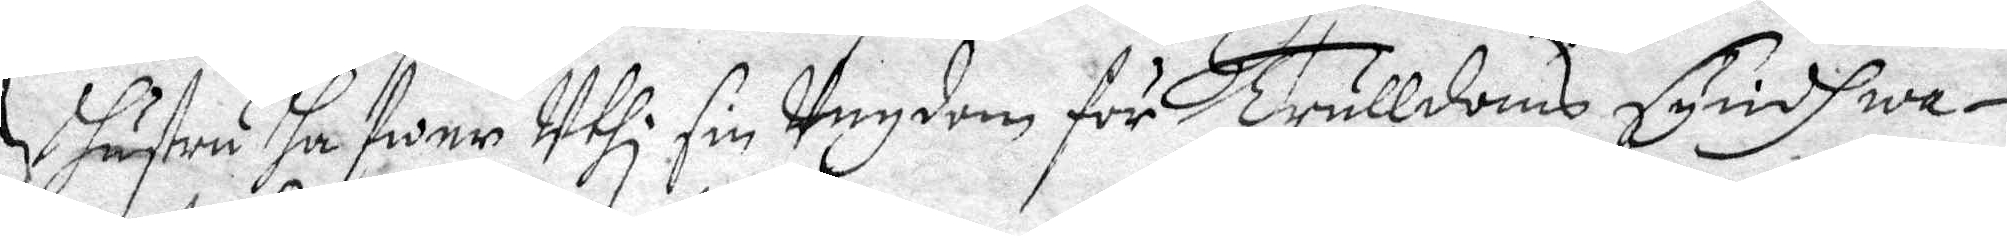hustru hafwer Uthi sin Ungdom för Trulldoms Syndh wa¬
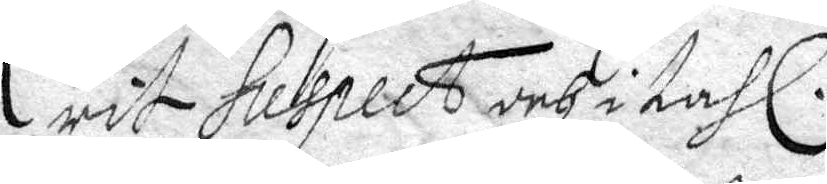rit hespect och i tahl.
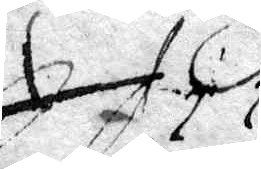.......
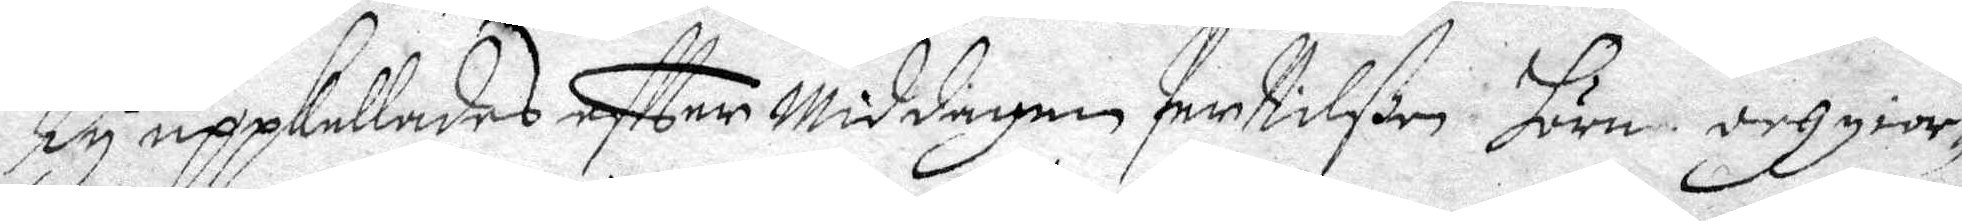Ty uppkallades eftter Middagen Per Nilßon Hörn och gior¬
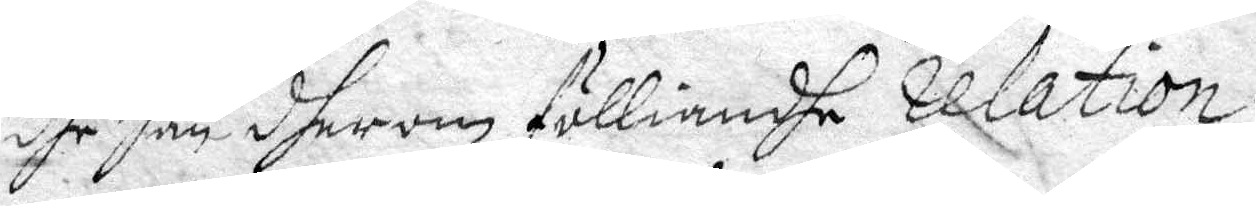dhe Han dherom fölliandhe realtion.
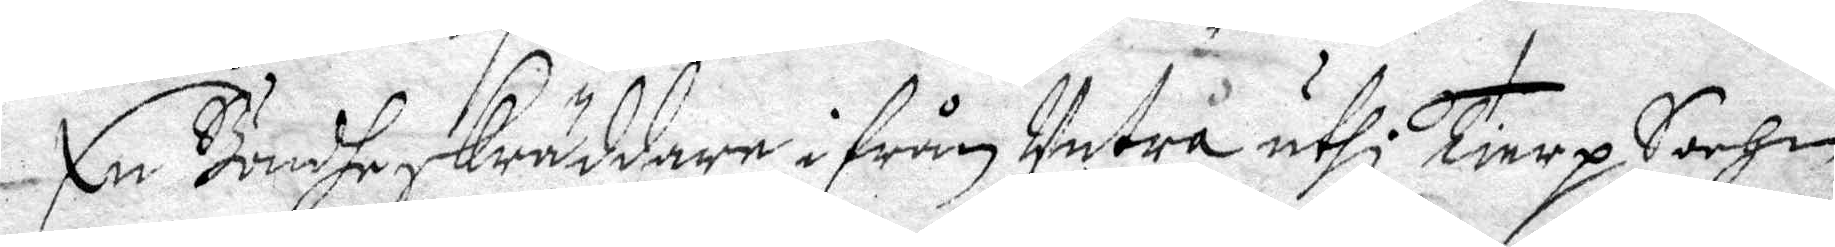En Bondheskräddare ifrån Untra uthi Tierp Sochen
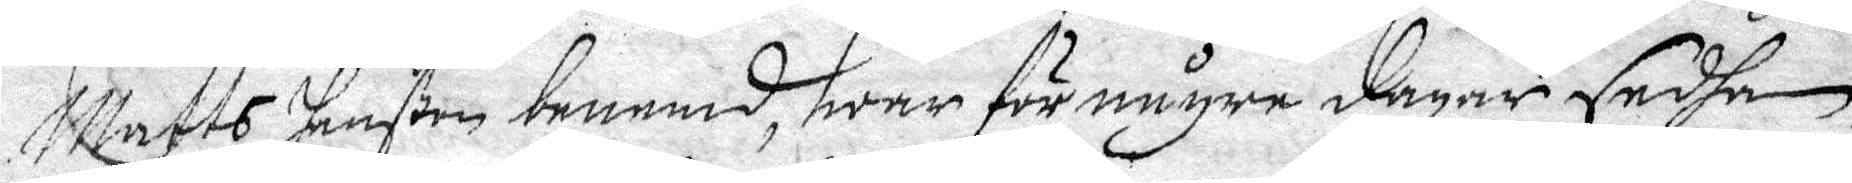Matts Hanßon benemd, hwar för någre dagar sedhan
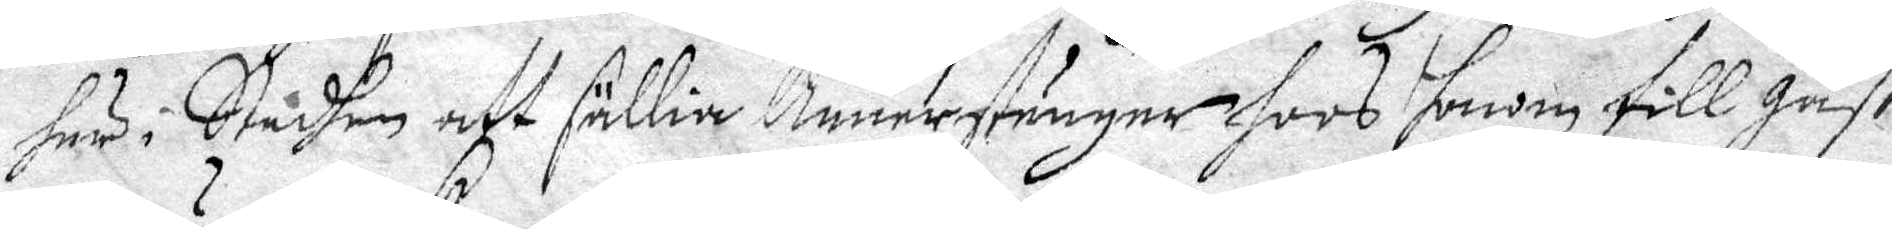här i Stadhen att sällia Banerstänger hoos honom till gäst
